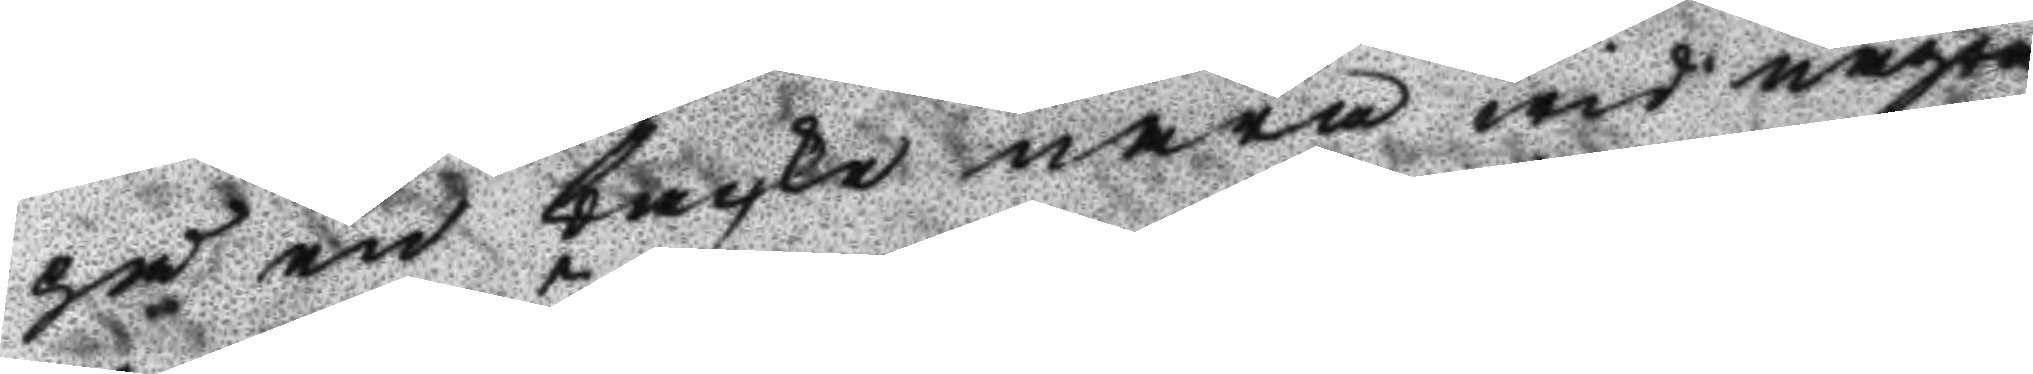på en backe nära wid några
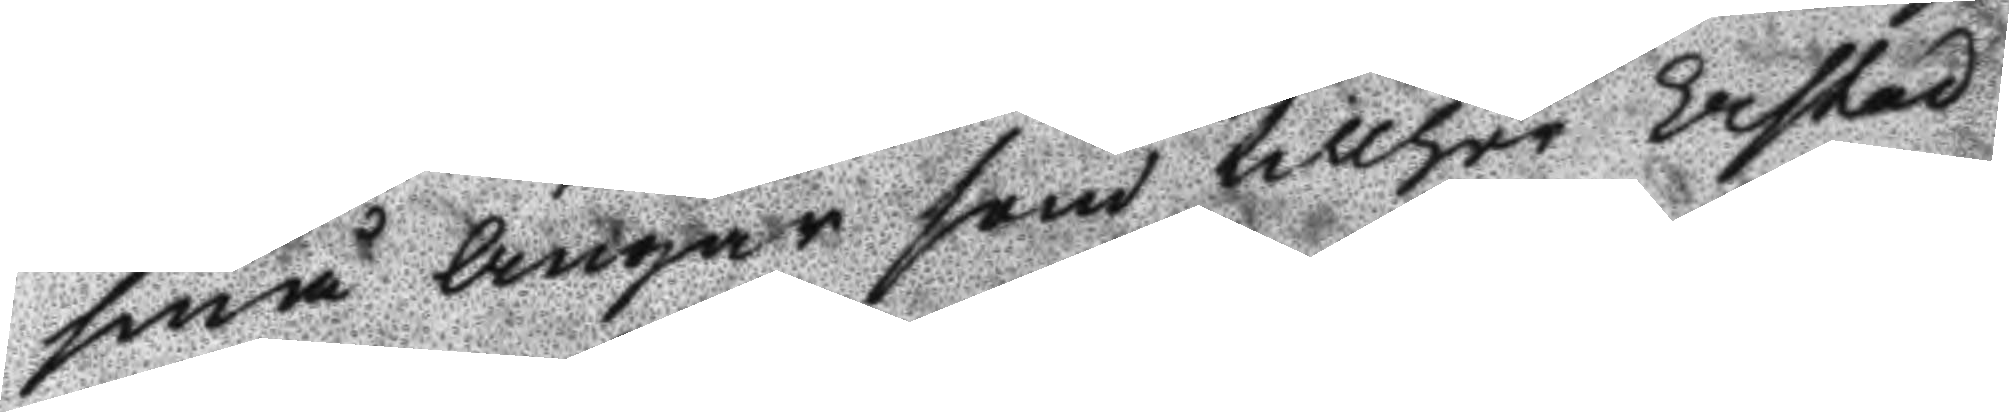små Ängar som tillhör Erstad
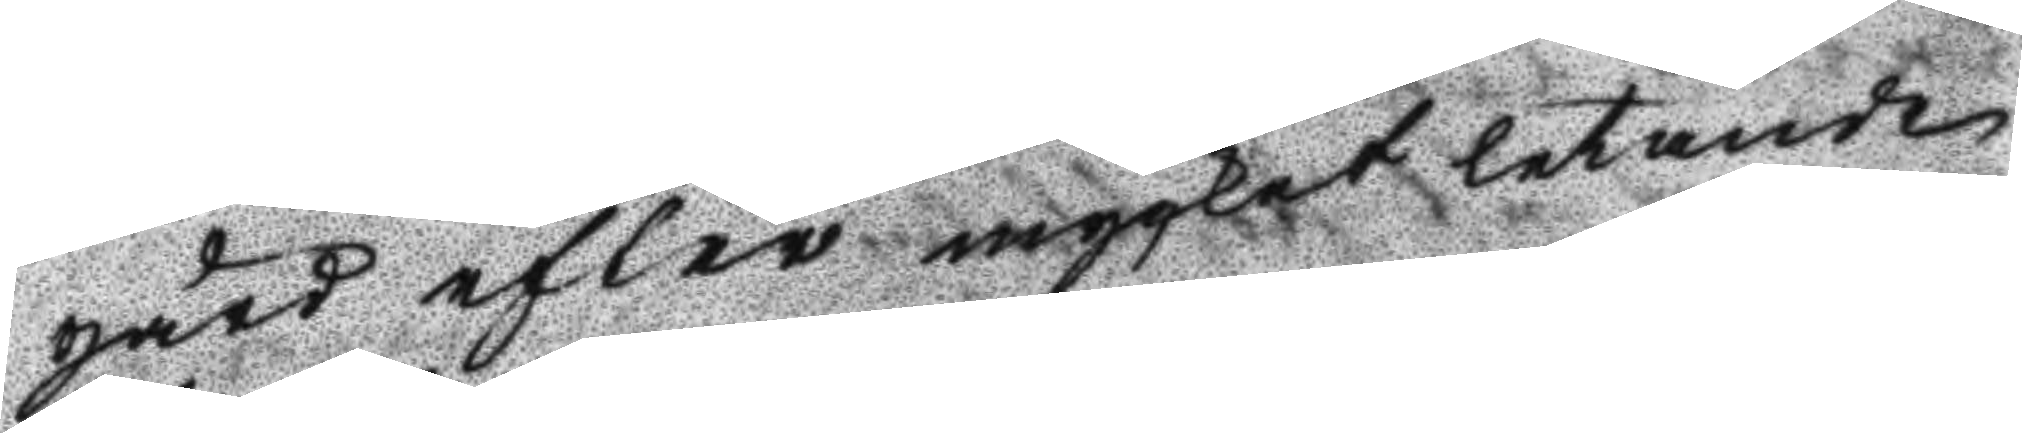gård efter mycket letande
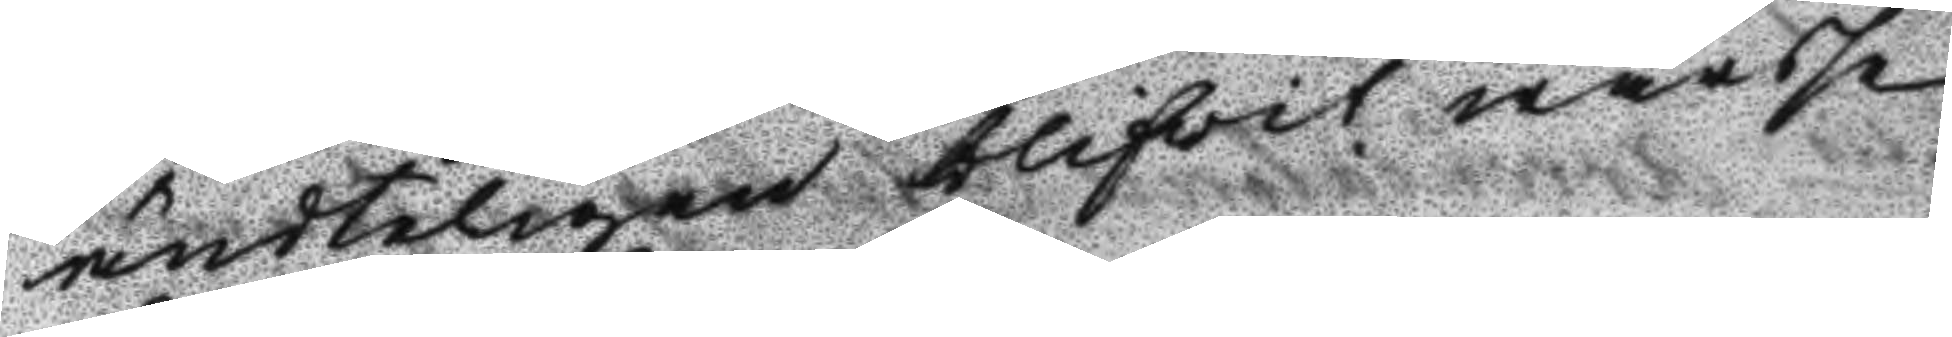ändteligen blifwit warse
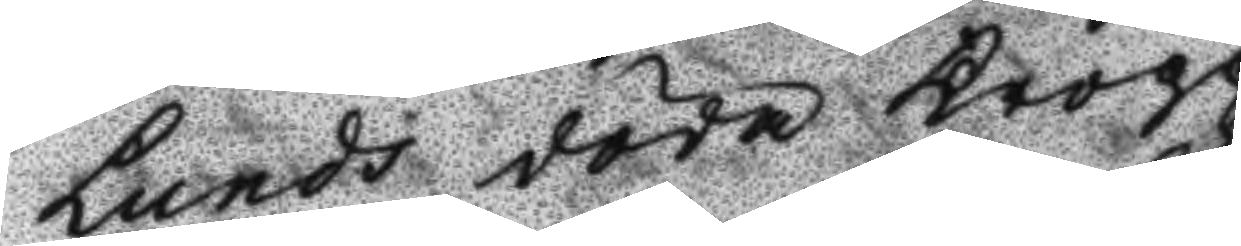Lunds döda kropp.
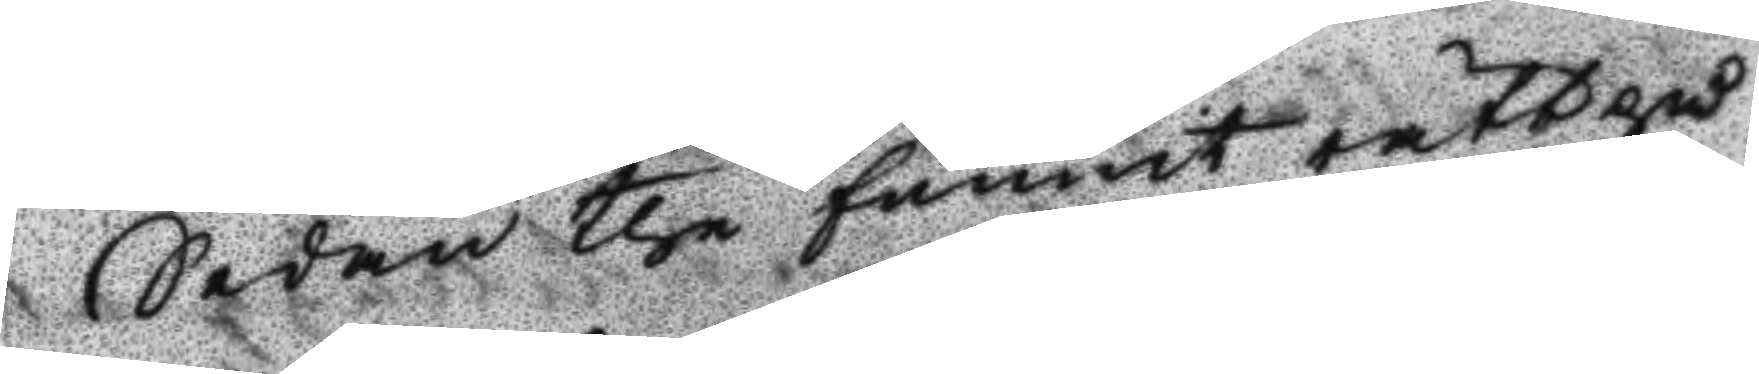Sedan the funnit rätt på
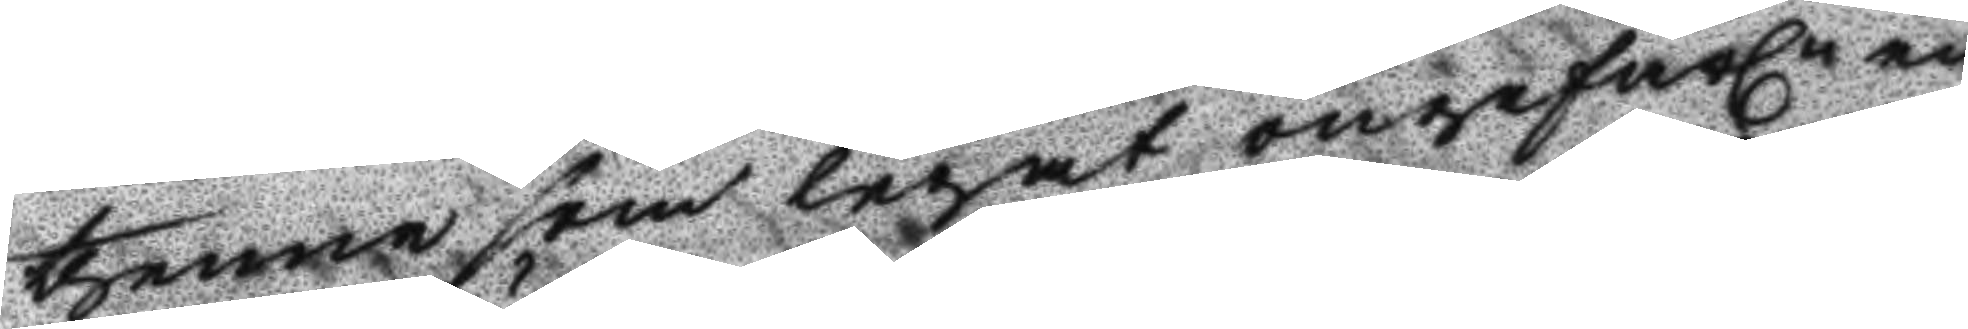thenne som legat ongefärln en
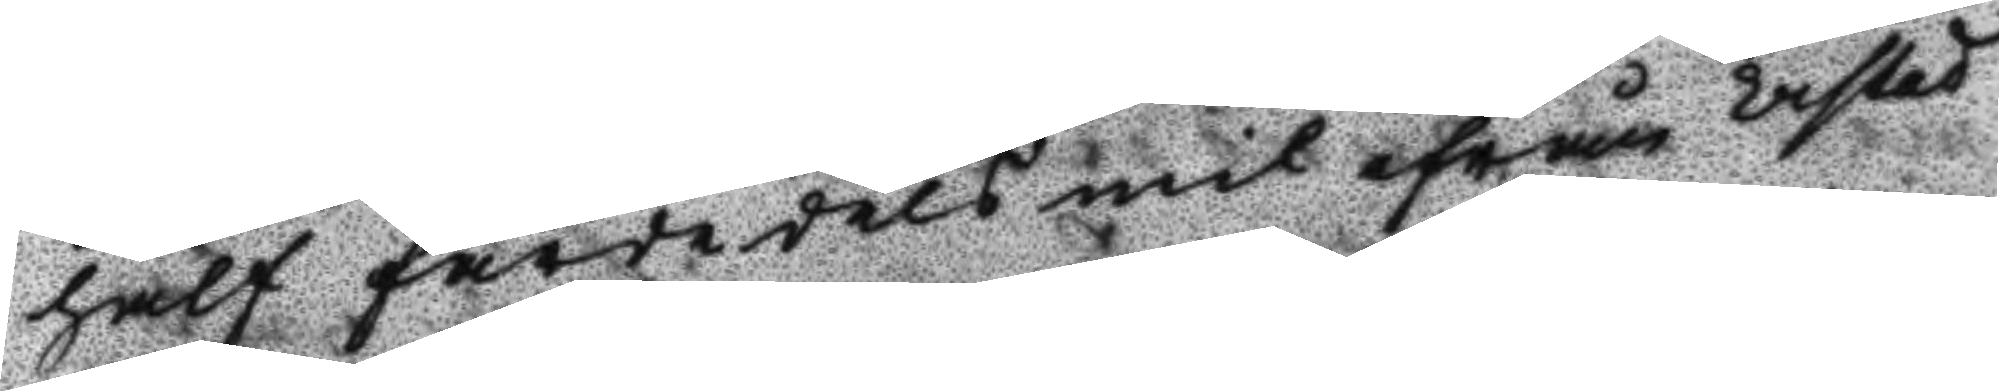half färdedels mil ifrån Erstad
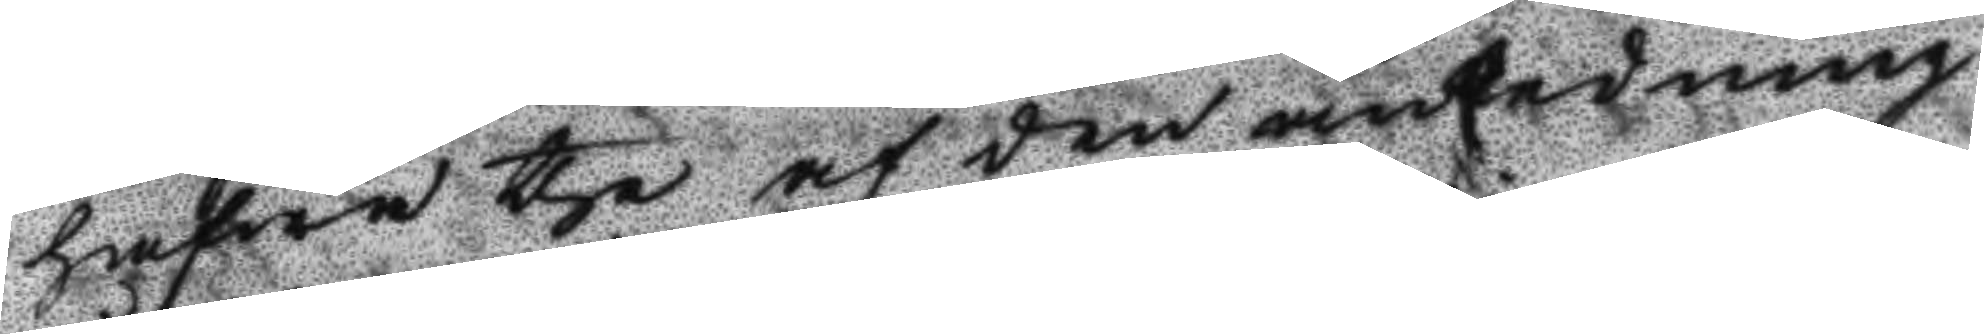hafwa the af den anledning
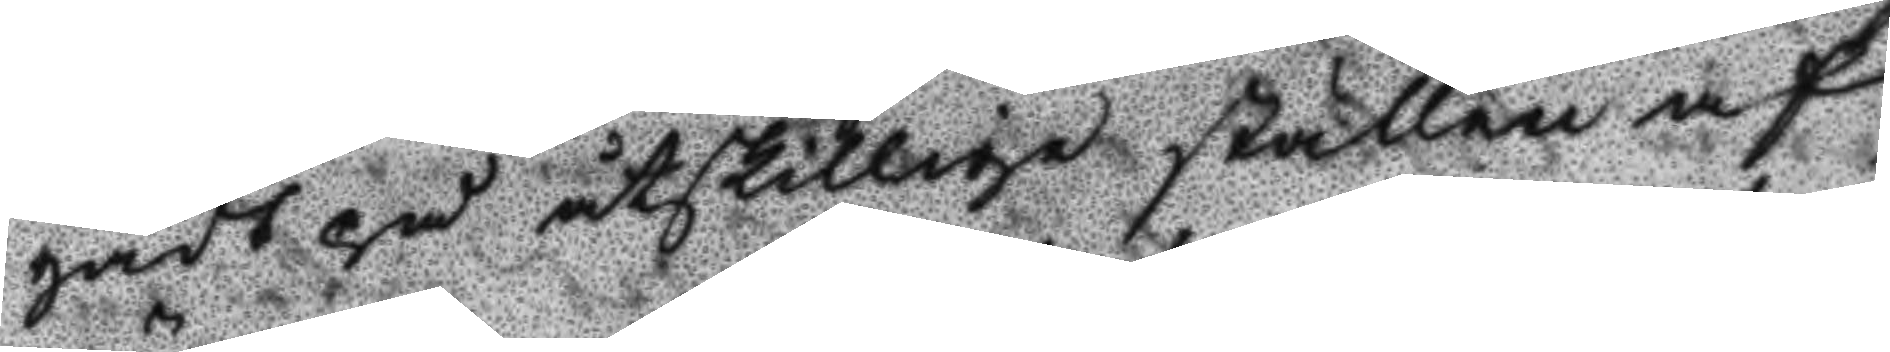gådt på åtskillige ställen af
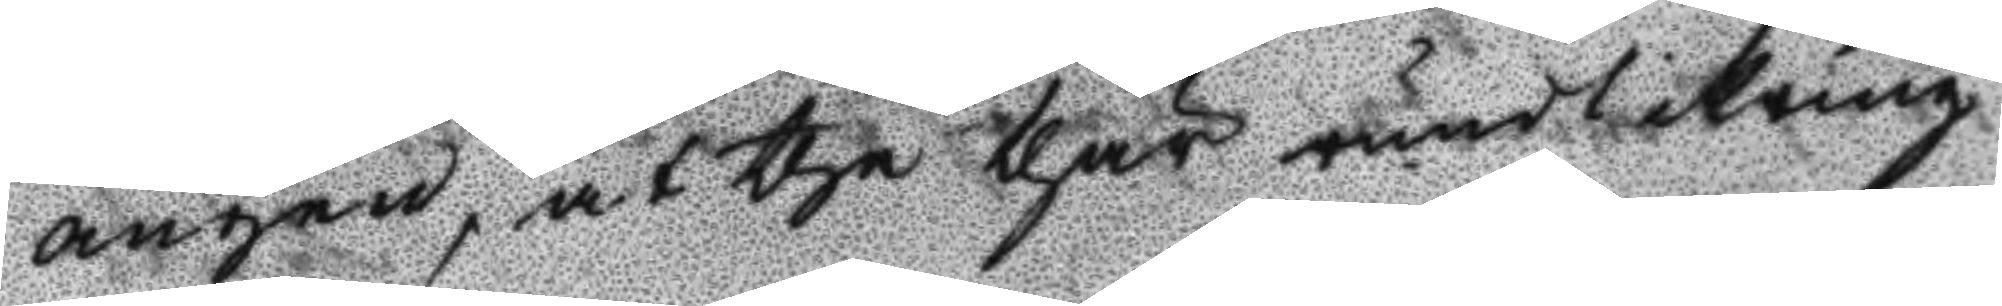ängen, at the thär runtikring
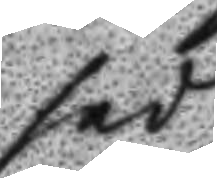sedt
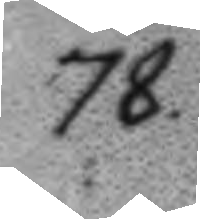78.
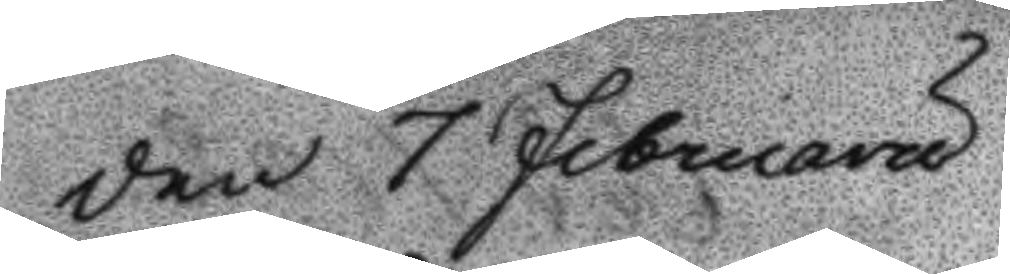Den 7 Februaru
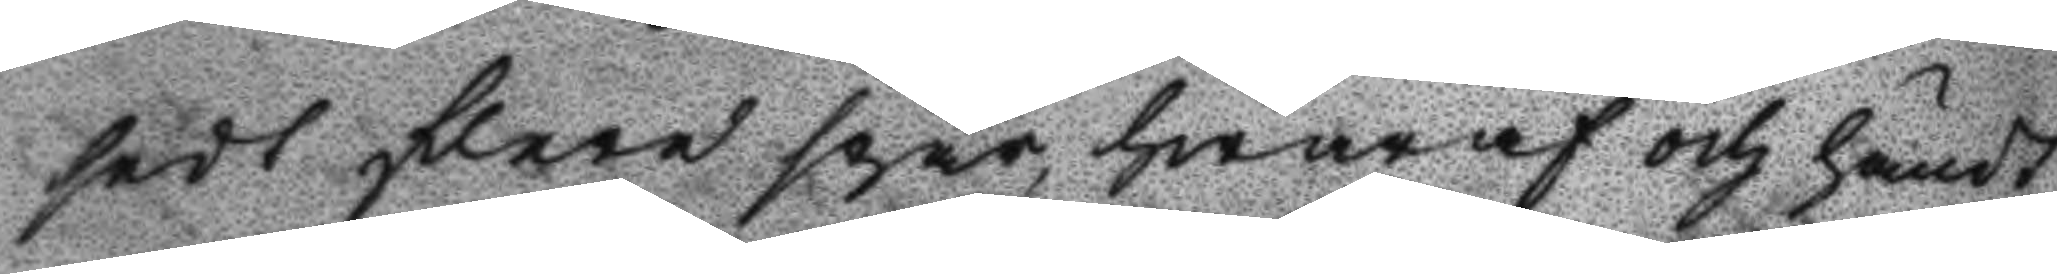sedt flere spår, hwaraf och händt
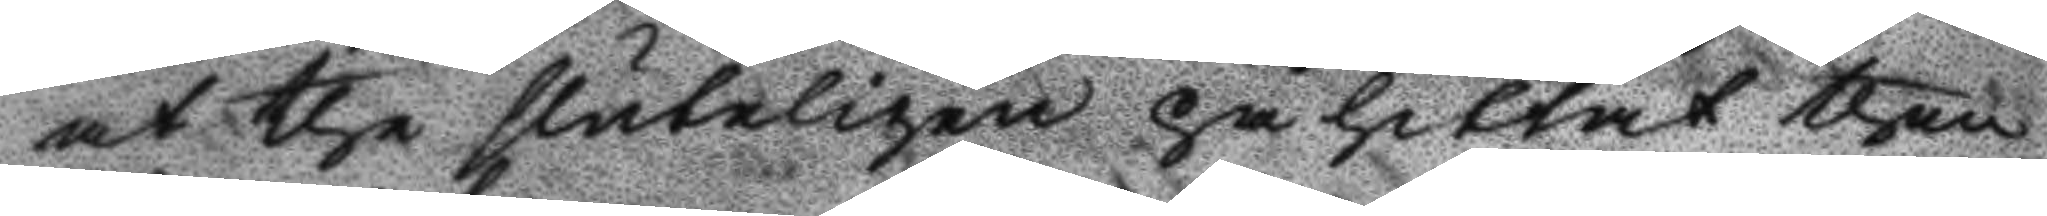at the sluteligen påhittat then
